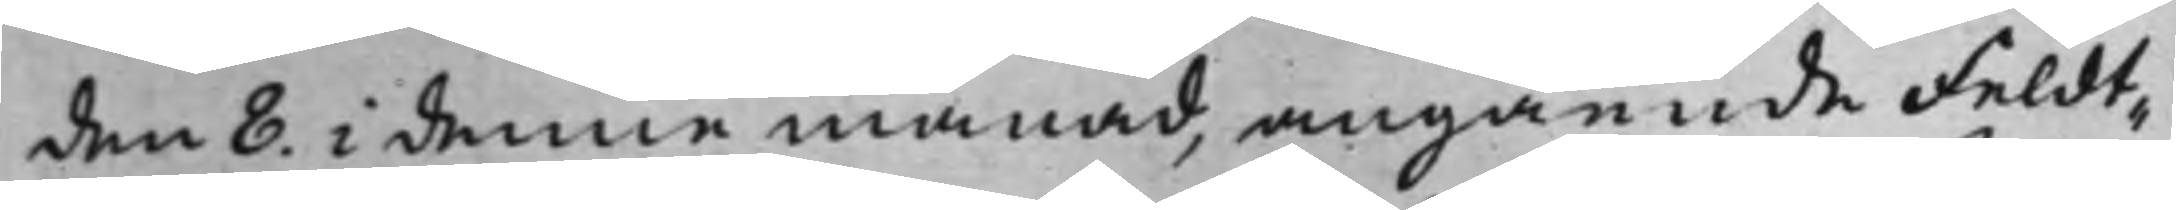den 8. i denna månad, angående Feldt¬
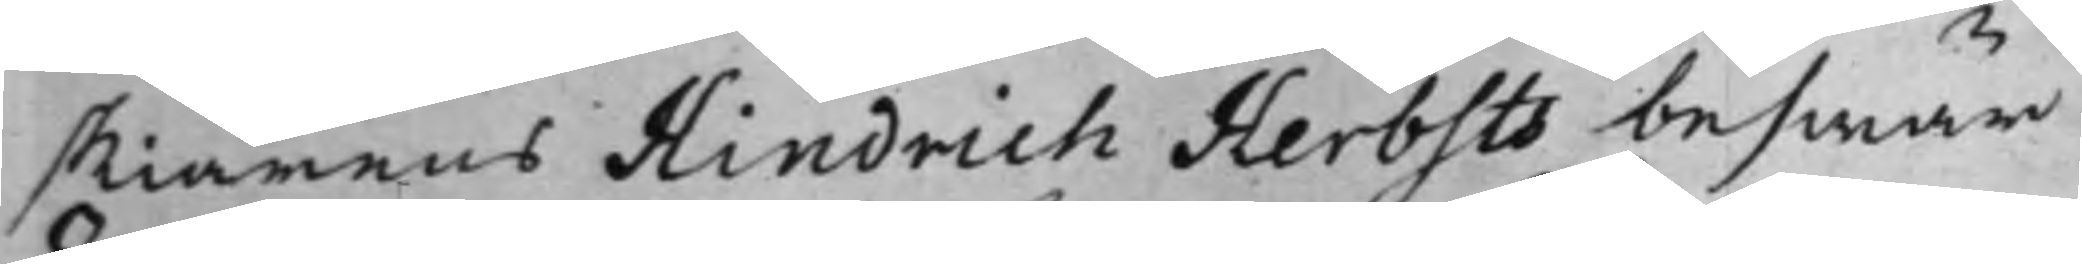skiärens Hindrich Herbsts beswär
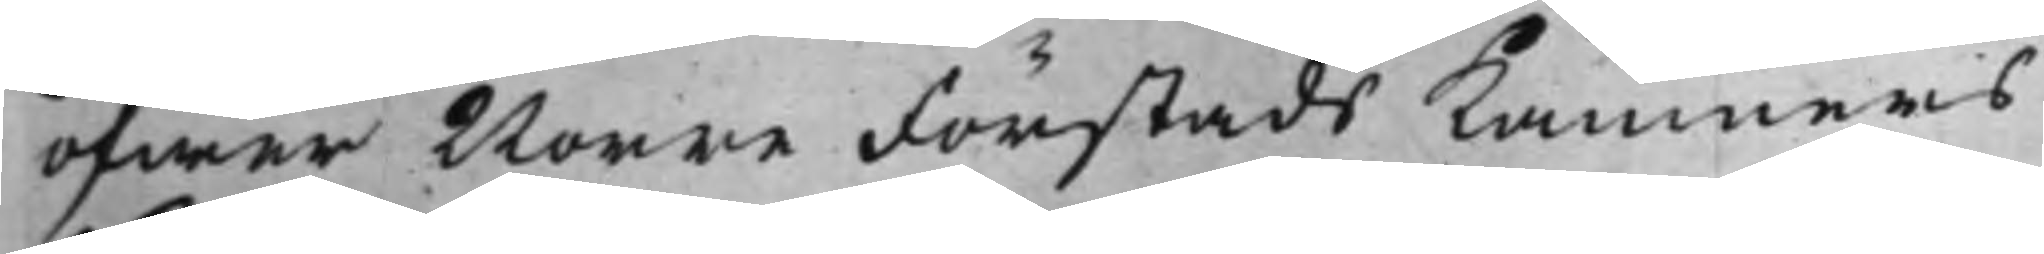öfwer Norre Förstads Kämners
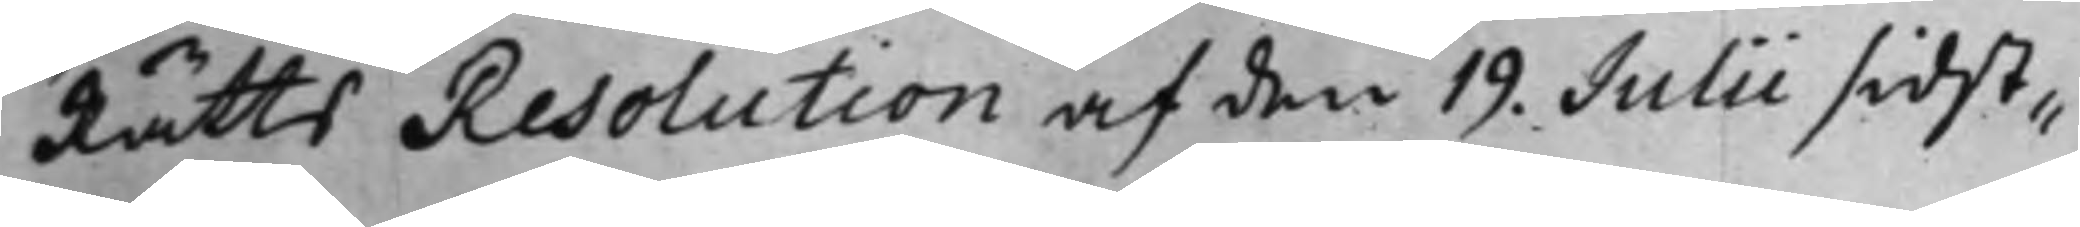Rätts Resolution af den 19. Julii sidst¬
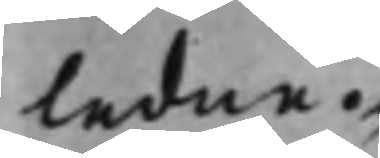ledne.
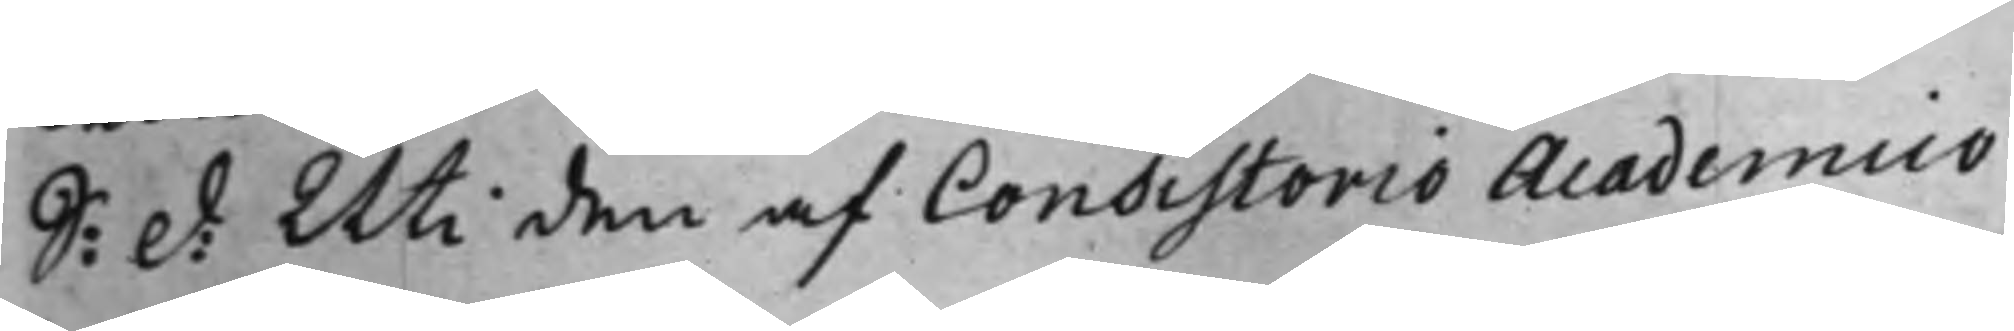S: d: Uti den af Consistorio Academico
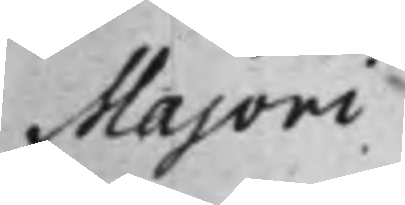Majori
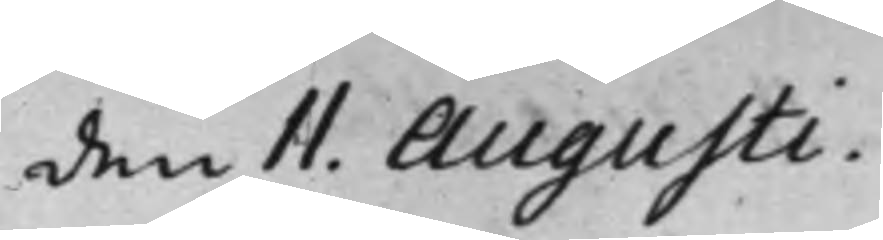den 11. Augusti.
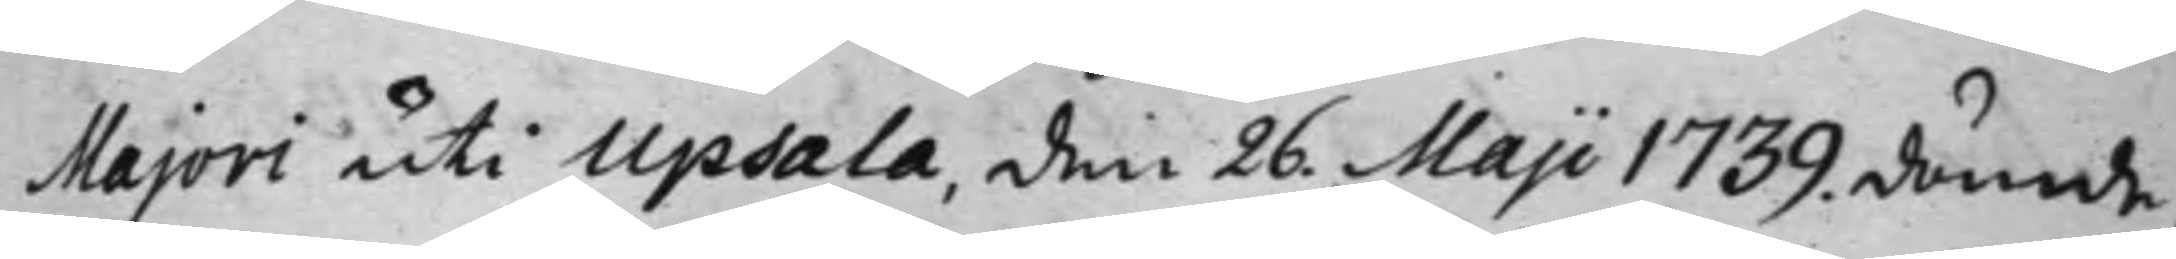Majori uti Upsala, den 26 Maji 1739. dömde,
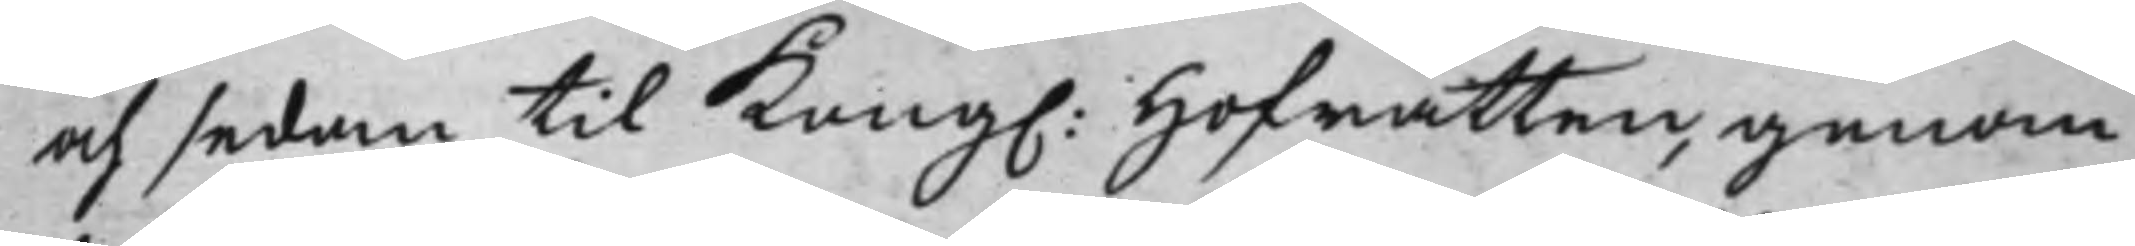och sedan til Kong. Hoffrätten, genom
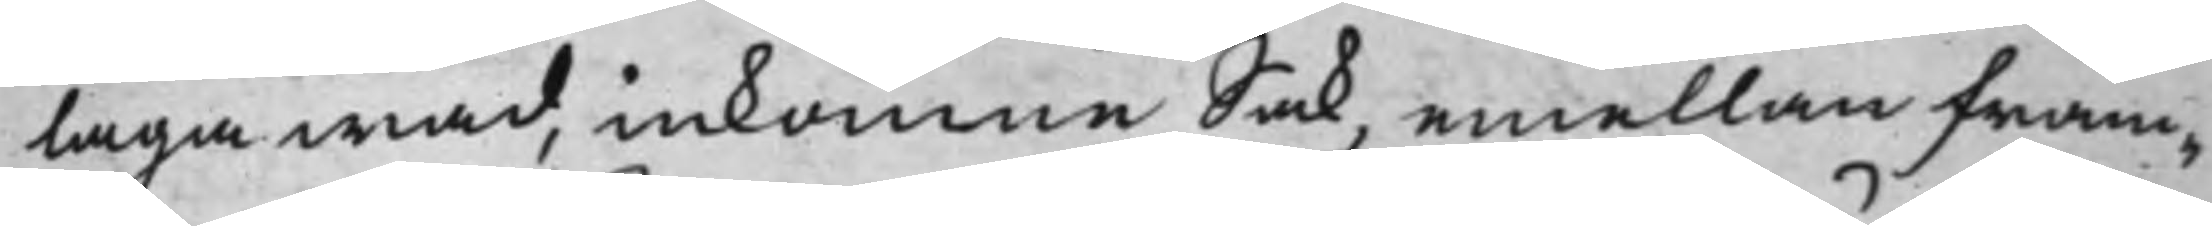laga wad, inkomne sak, emellan fram¬
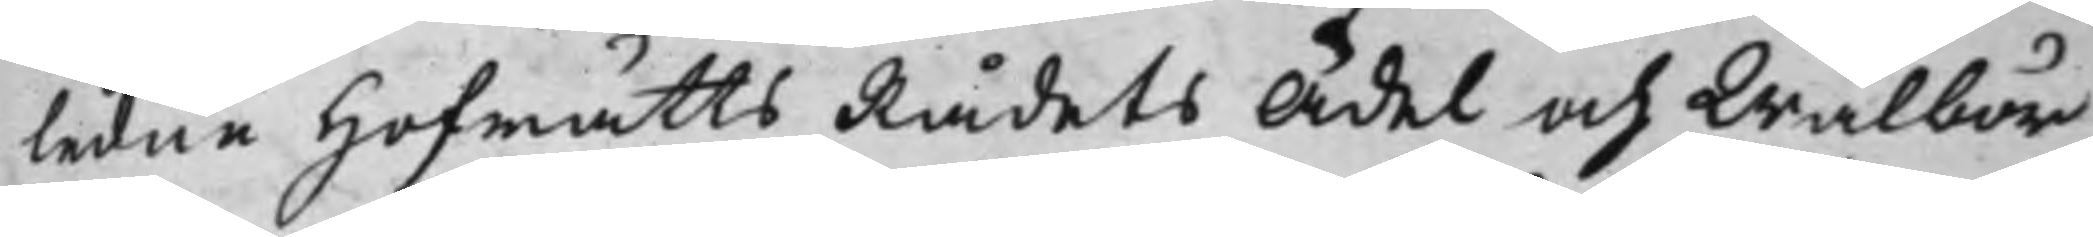ledne Hofrätts Rådets Ädel och Wälbör¬
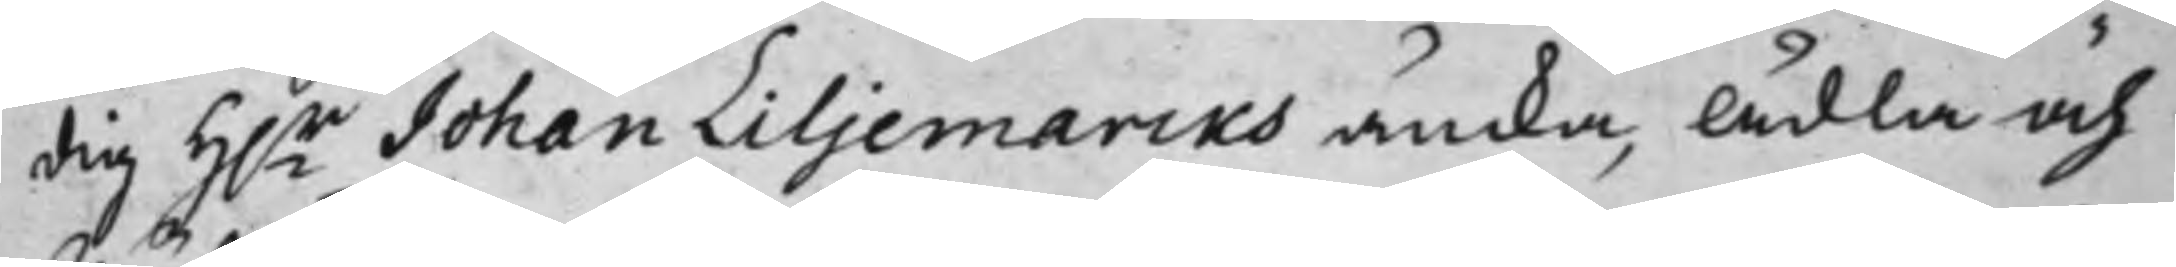dig H.r Johan Liljemarcks äncka, Ädla och
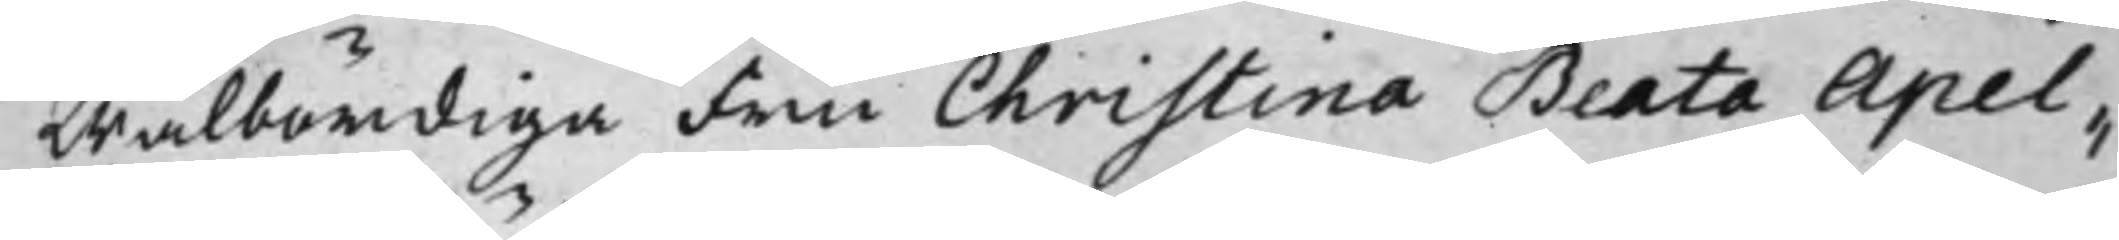Wälbördiga Fru Christina Beata Apel¬
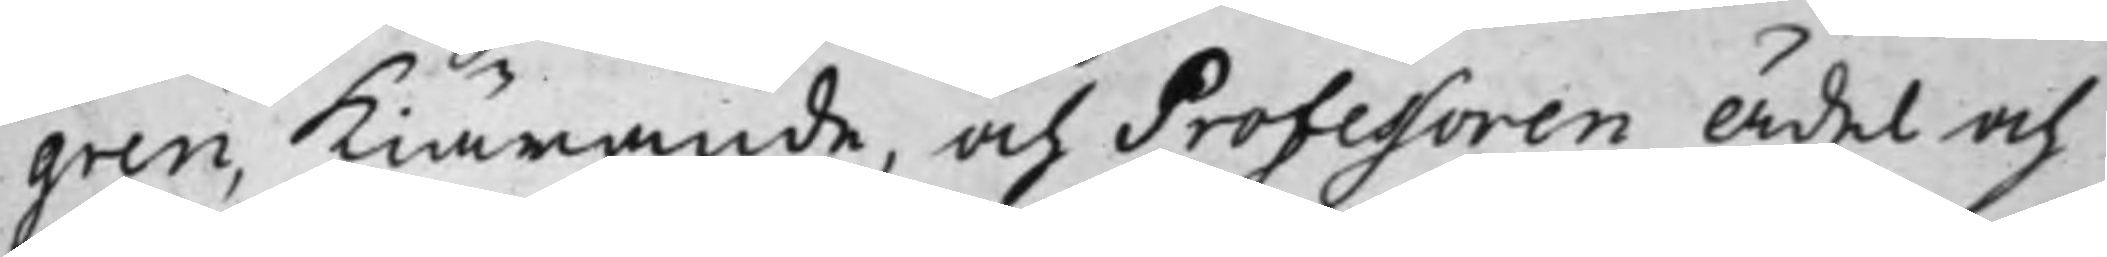gren, Kiärande, och Professoren Ädel och
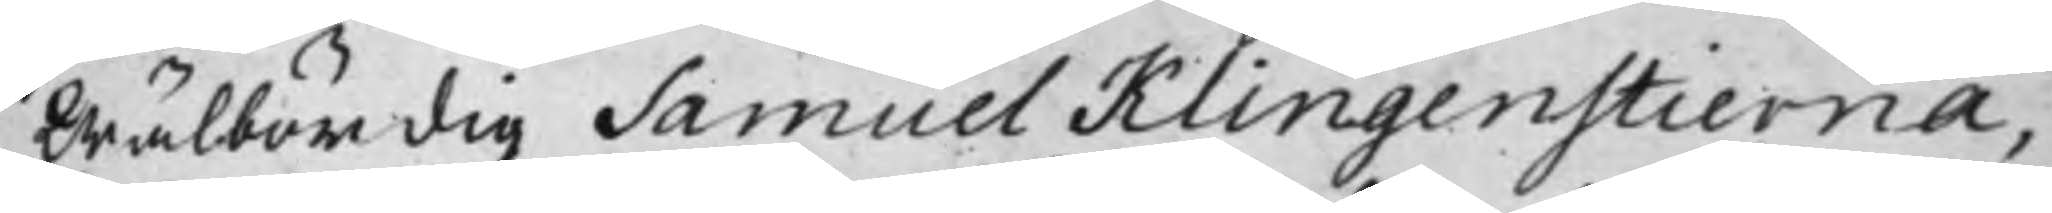Wälbördig Samuel Klingenstierna,
